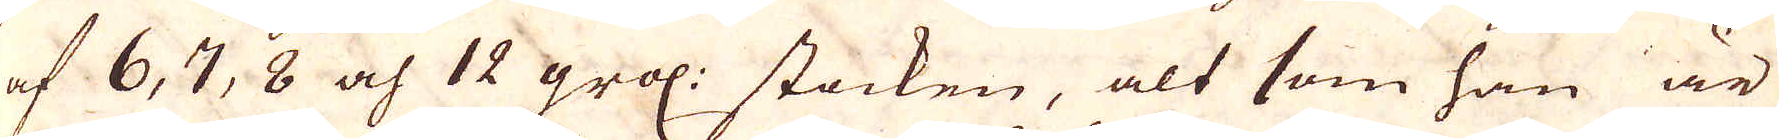af 6, 7, 8 och 12 gros: stocken, alt som han är
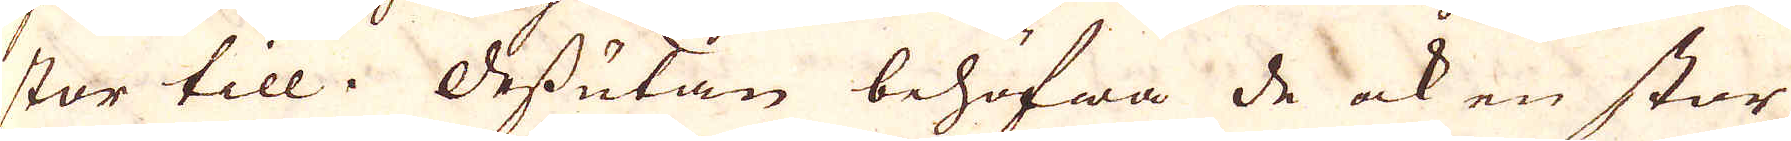stor till. Dessutan behöfwa de ock en stor
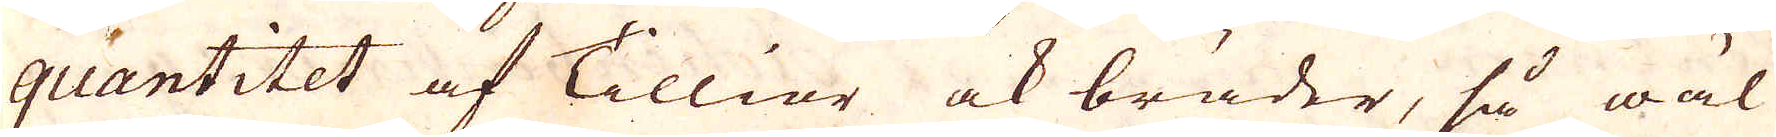quantitet af Talliar ock bräder, så wäl
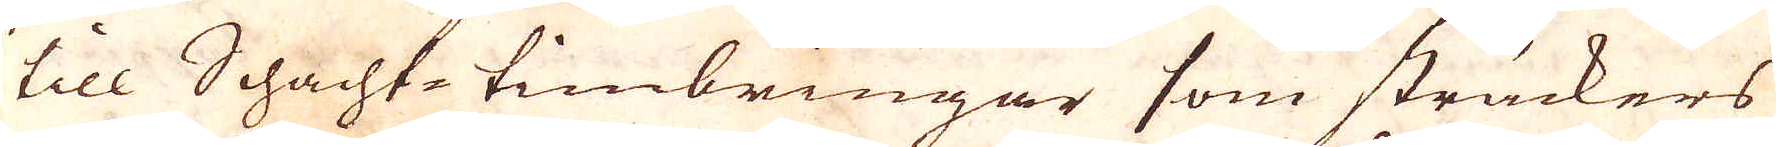till Schacht-timbringar som sträckers
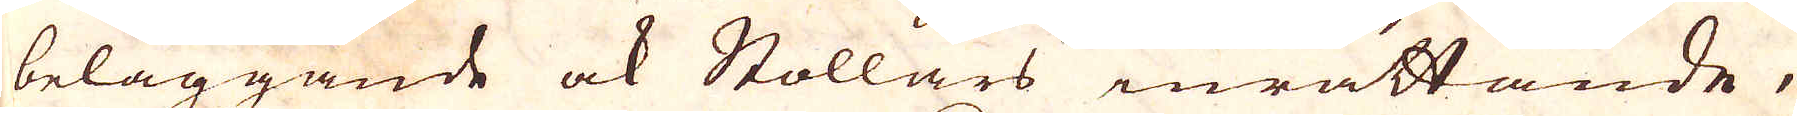beläggande ock Stollars inrättande,
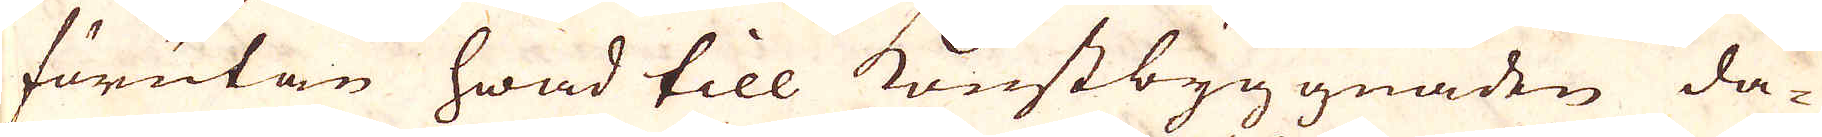förutan hwad till konstbyggnaden da-
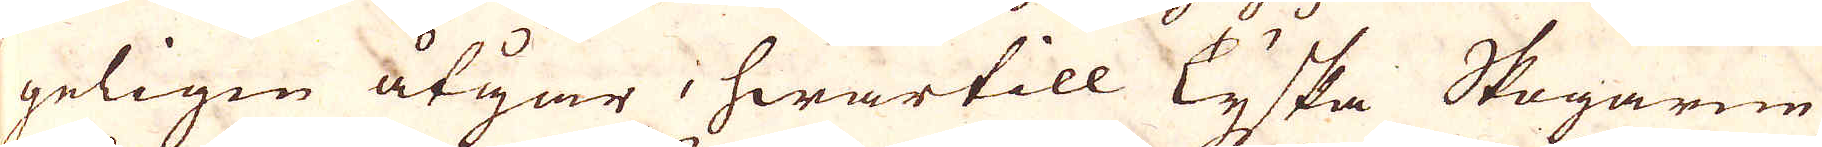geligen åtgår, hwartill Tyska Skogarne
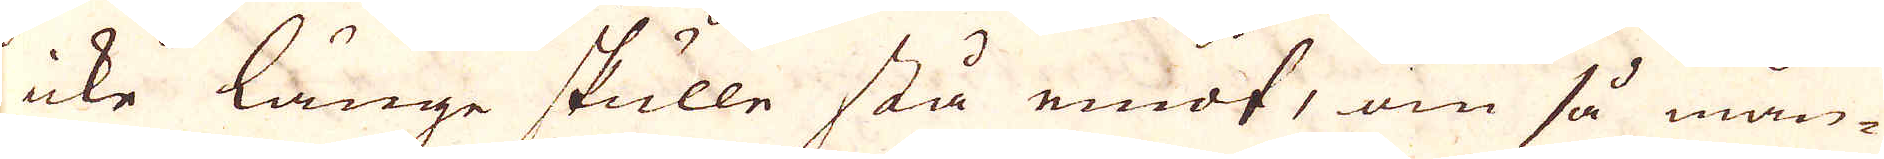icke länge skulle stå emot, om så mån-
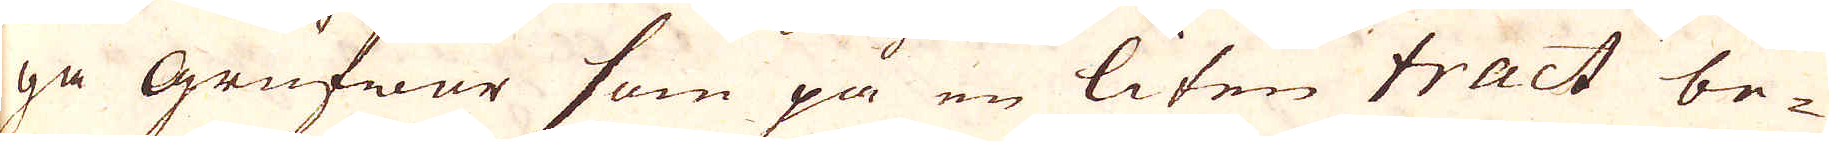ga Grufwor som på en liten tract be-
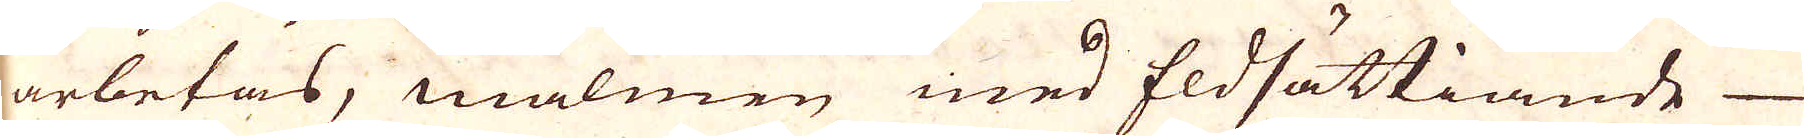arbetas, malmen med Eldsättiande
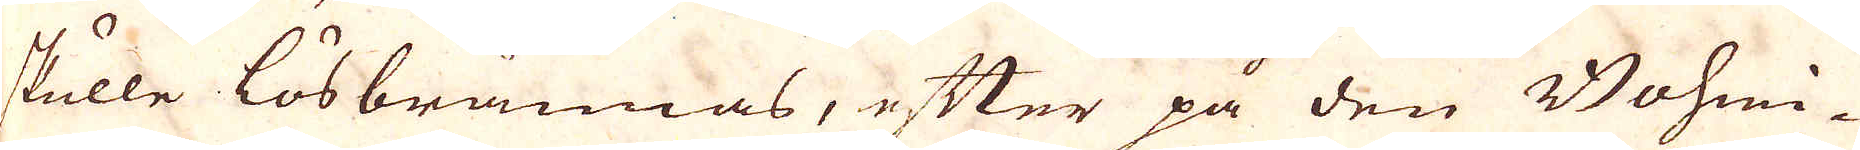skulle lösbrännas, efter på den Bohmi-
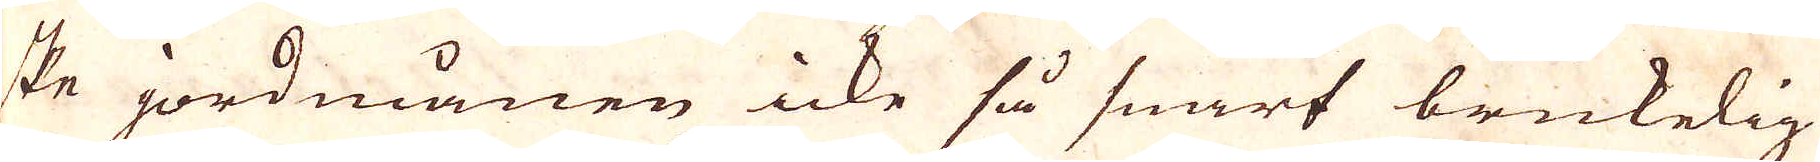ske jordmånen icke så snart brukelig
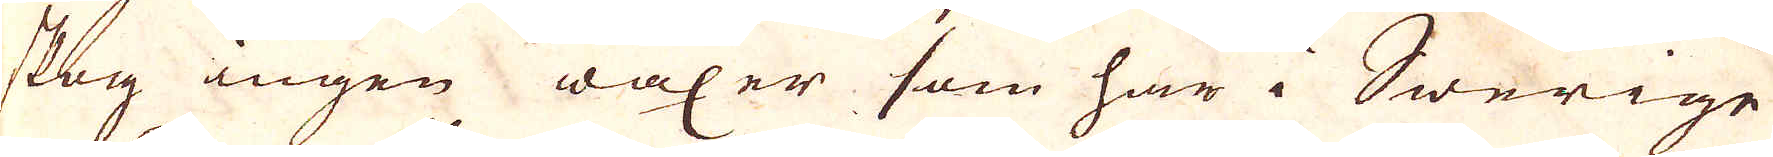skog ingen wäxer som här i Swerige
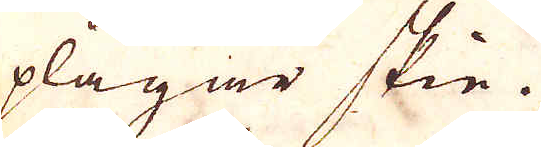plägar skie.
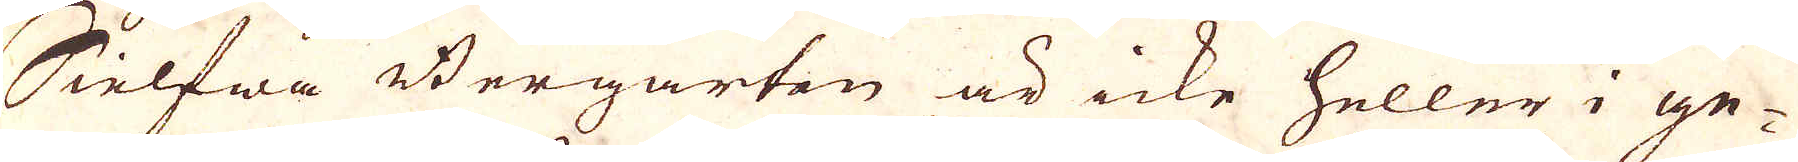Sielfwa Bergarten är icke heller i ge-
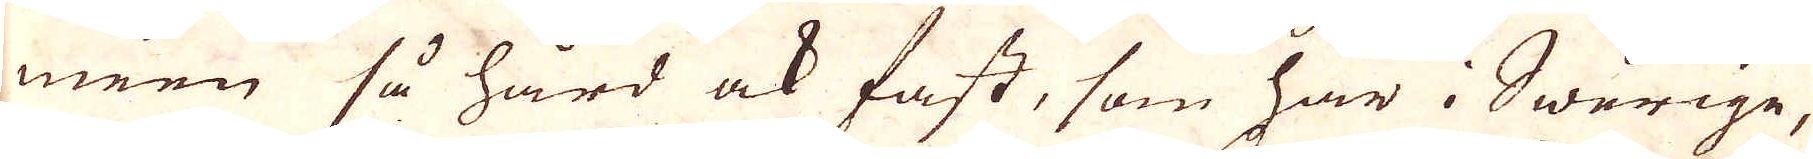men så hård ock fast, som här i Swerige,
